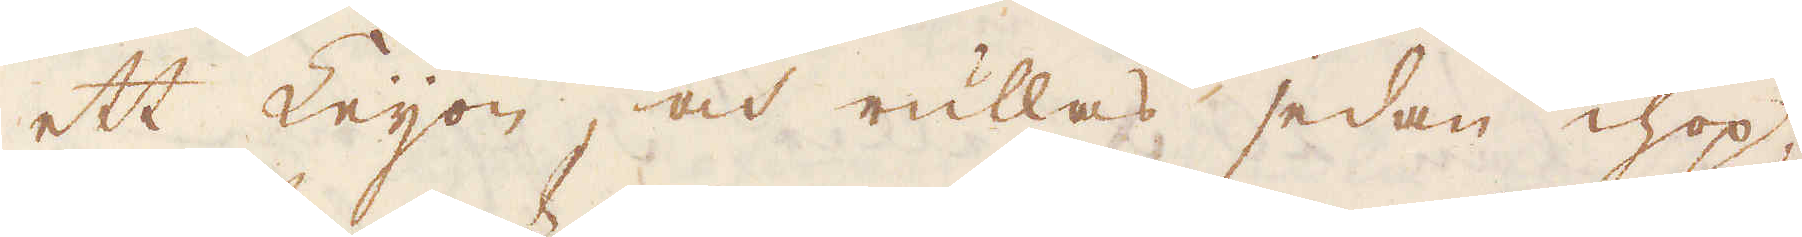ett Leijon, och rullas sedan ihop,
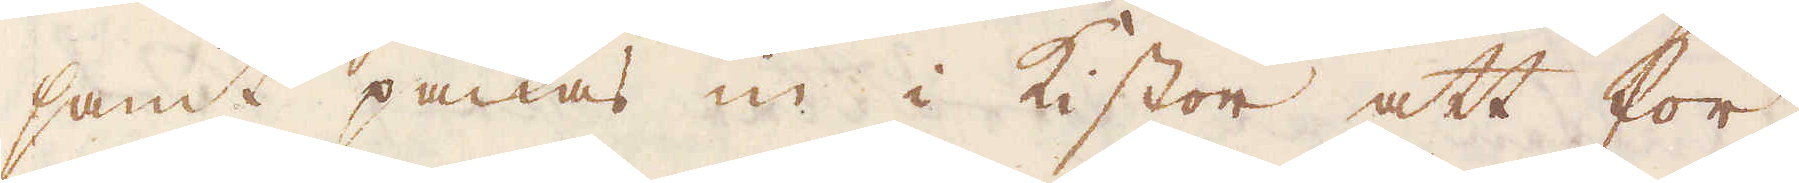samt packas in i kistor att för-
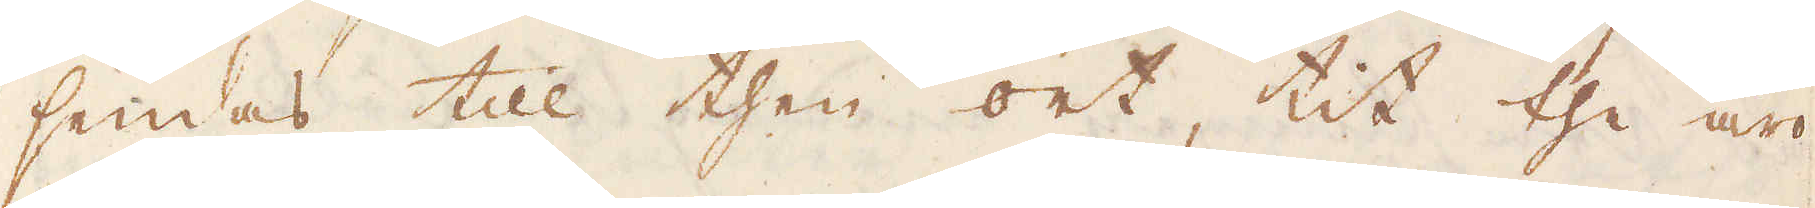sendas till then ort, tit the äro
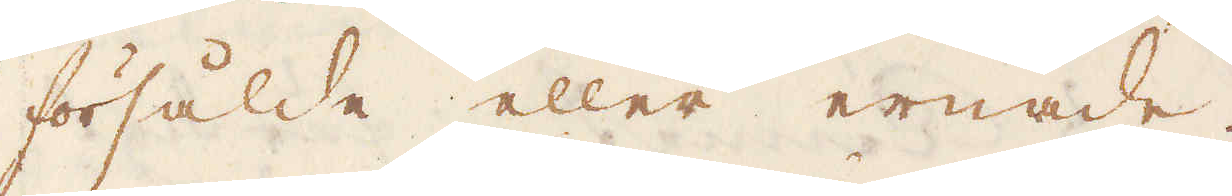försålde eller ernade.
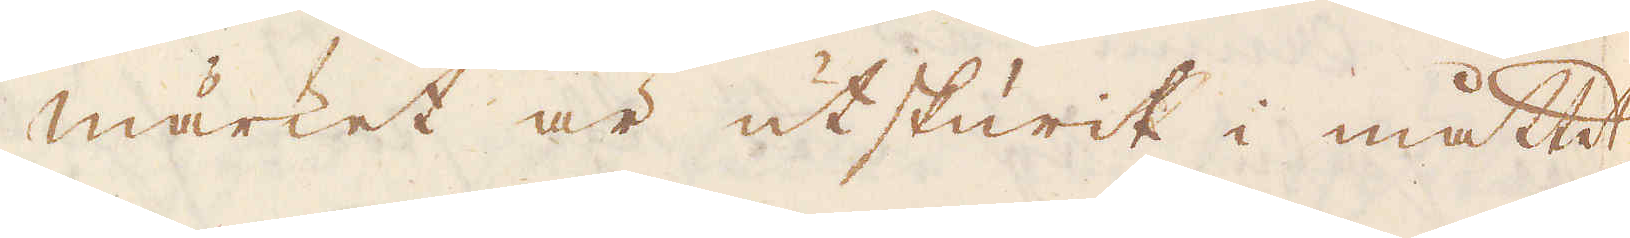Märket är utskurit i måttet.
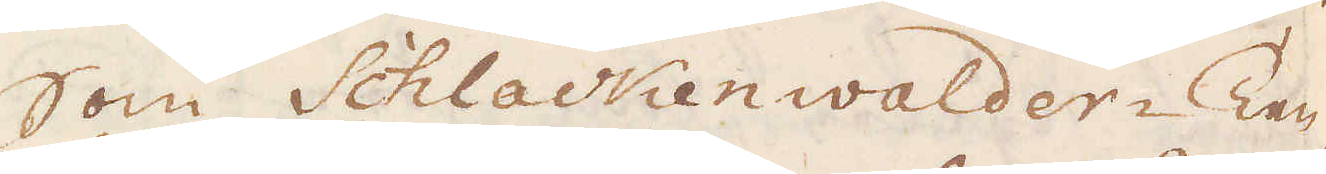Som Schlackenwalder-Ten-
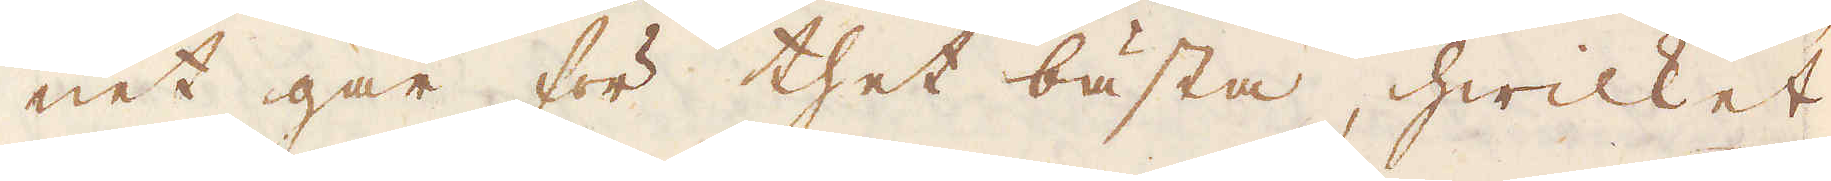net går för thet bästa, hwilket
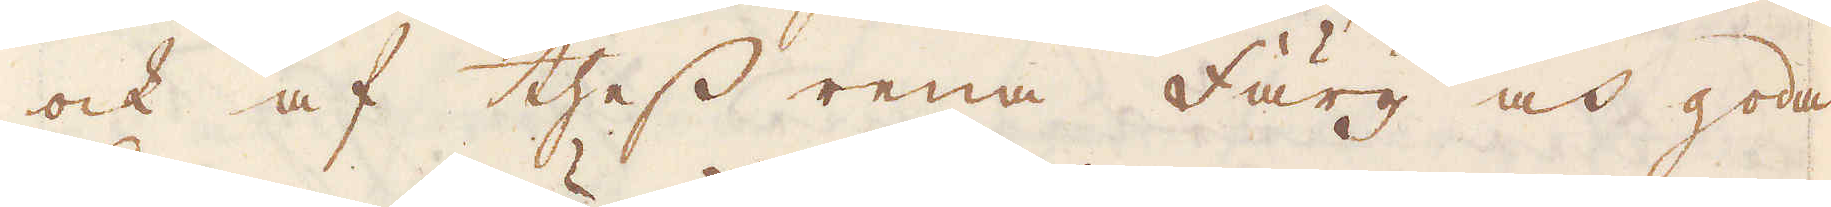ock af thess rena Färg och goda
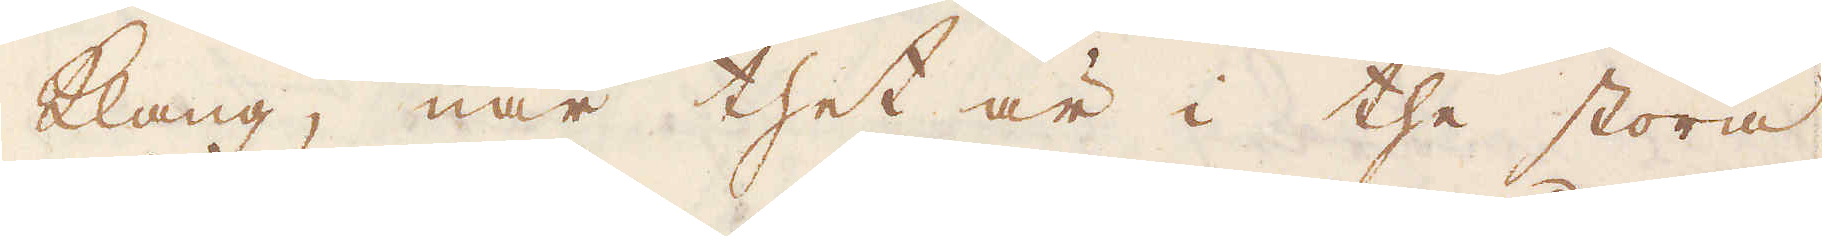Klang, när thet är i the stora
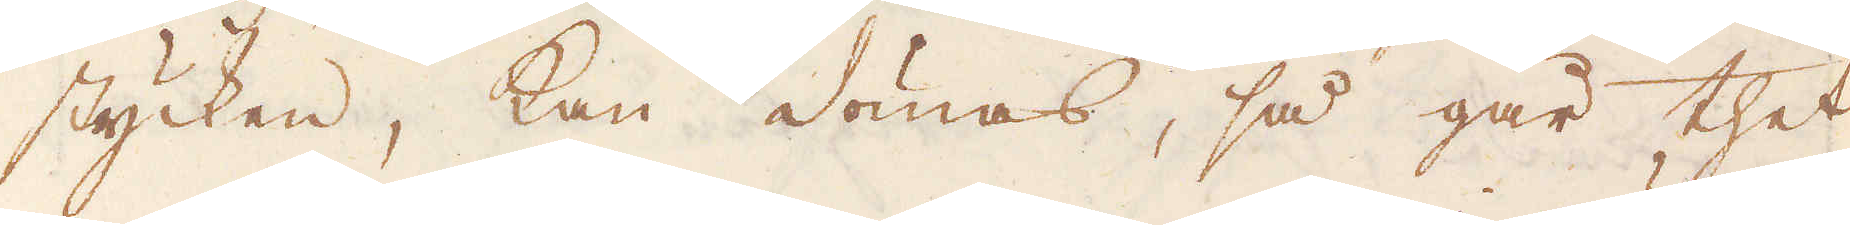stycken, kan dömas, så går thet
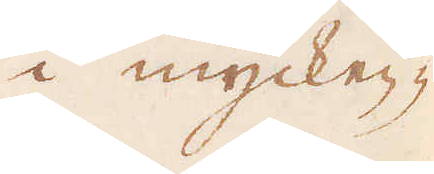i mycken-
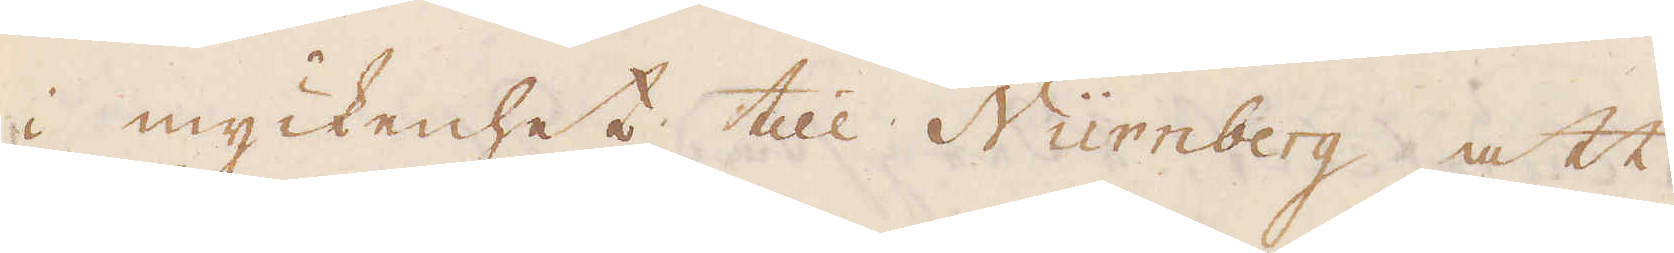i myckenhet till Nürnberg att
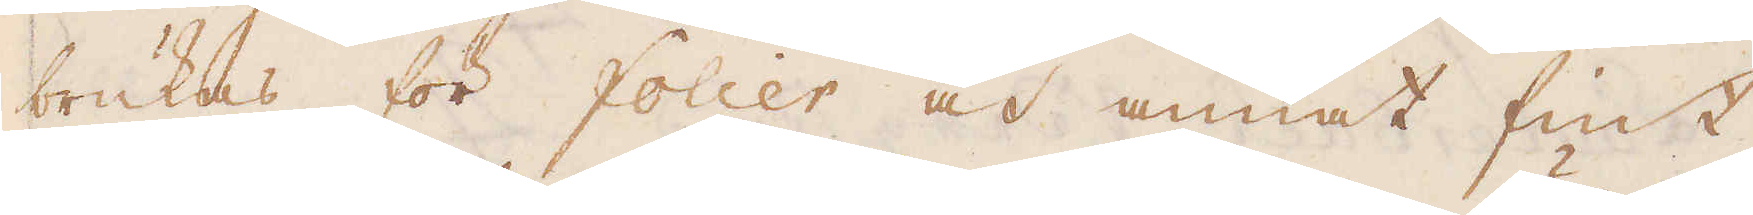brukas för folier och annat fint
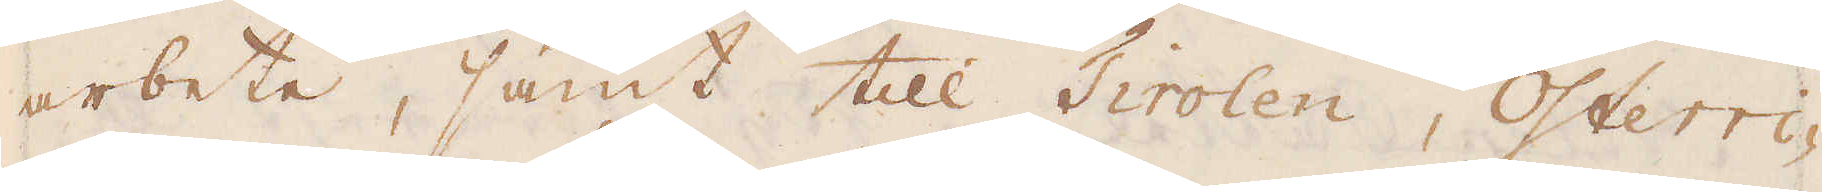arbete, samt till Tirolen, Österri-
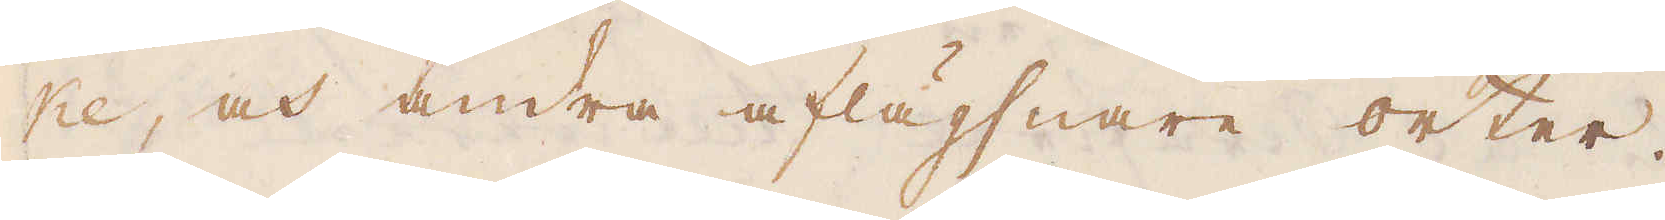ke, och andra aflägsnare orter.
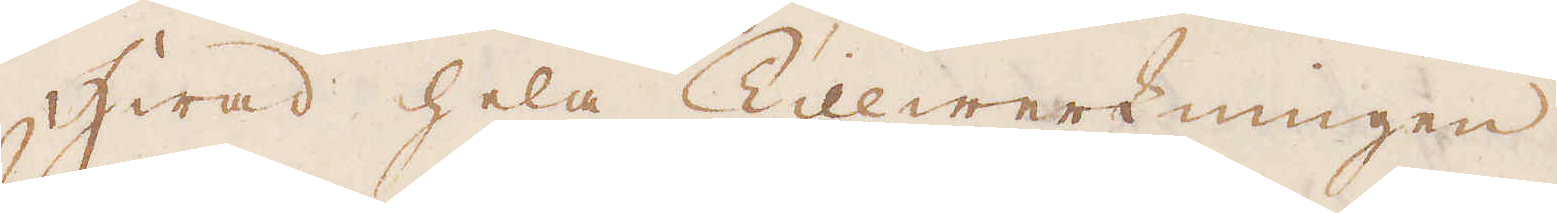Hwad hela Tillwerkningen
